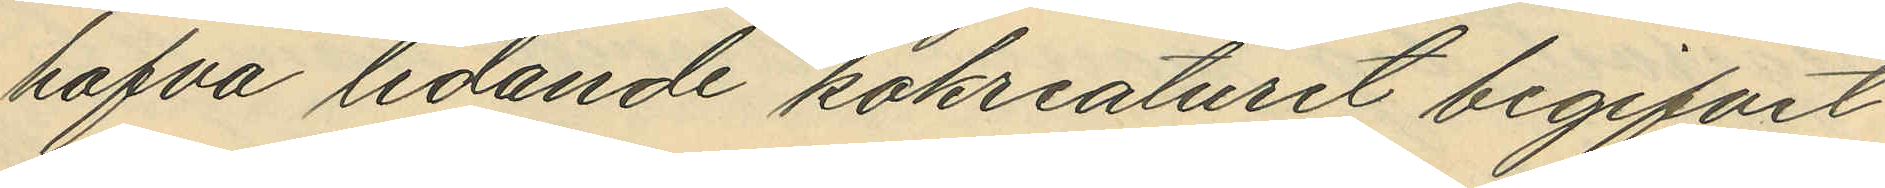hafva ledande kokreaturet begifvit
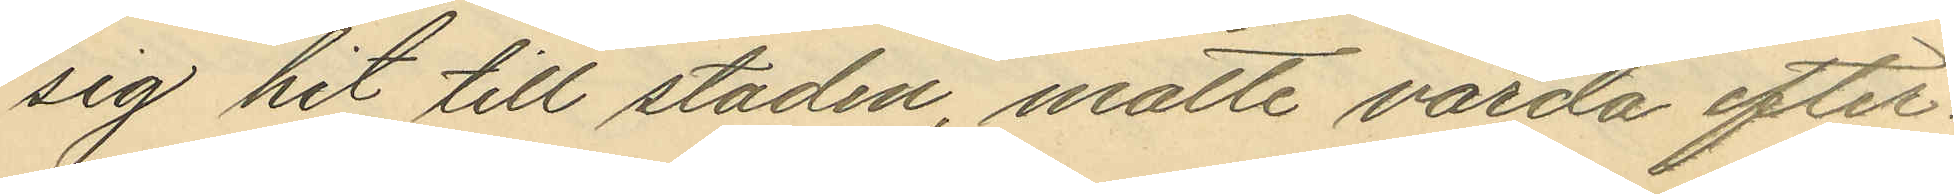sig hit till staden, måtte varda efter¬
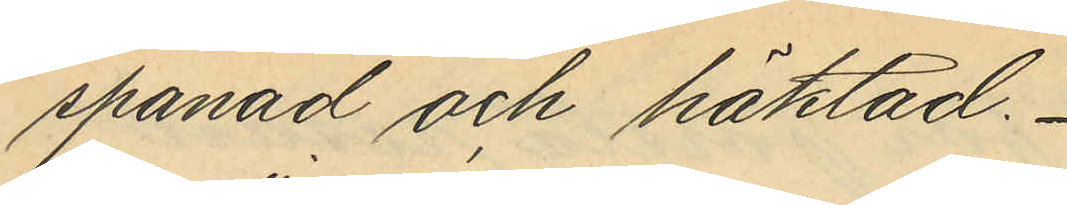spanad och häktad.
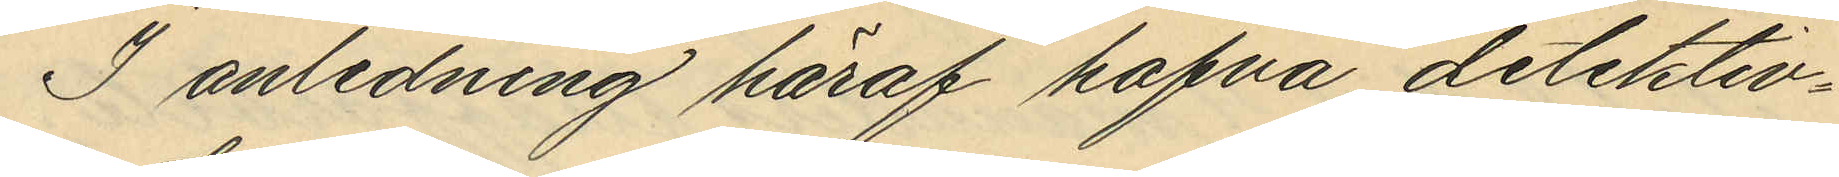I anledning häraf hafva detektiv¬
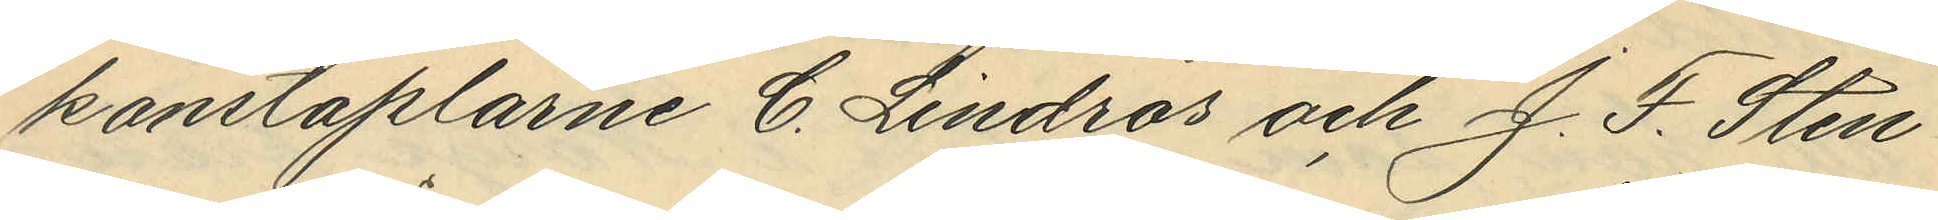konstaplarne C. Lindros och J. F. Sten¬
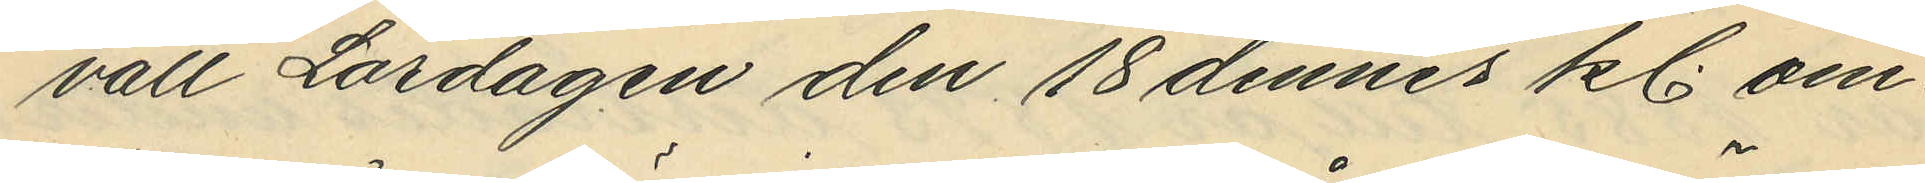vall Lördagen den 18 dennes kl om¬
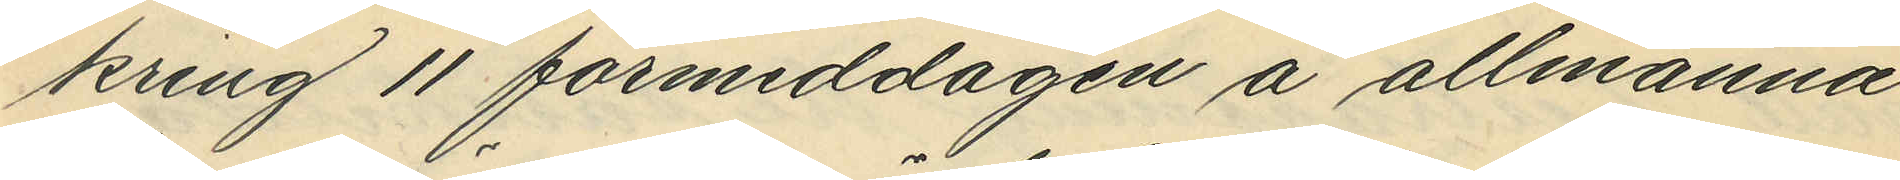kring 11 förmiddagen å allmänna
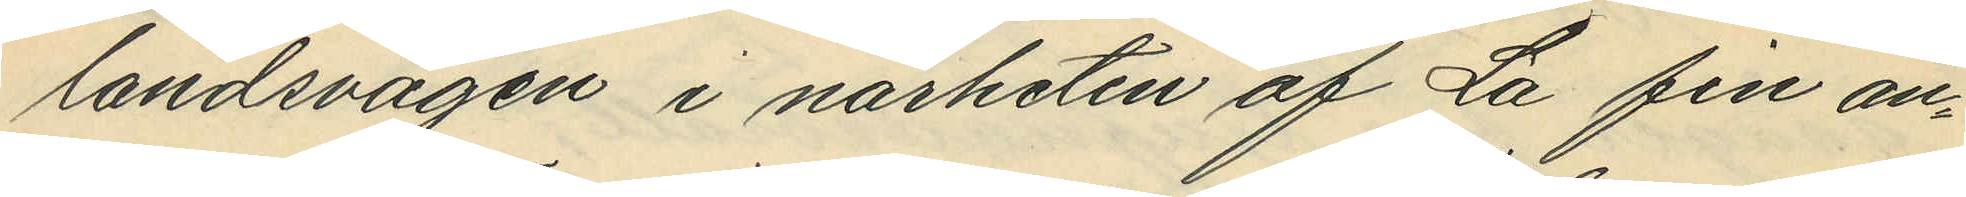landsvägen i närheten af La fin an¬
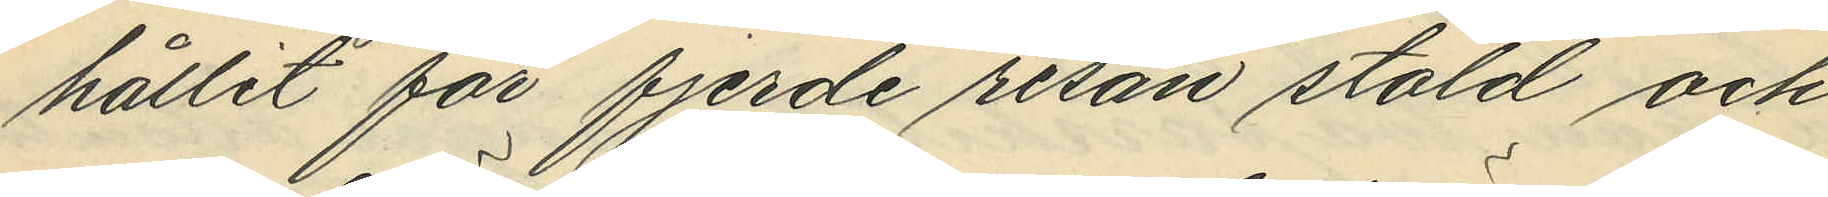hållit för fjerde resan stöld och
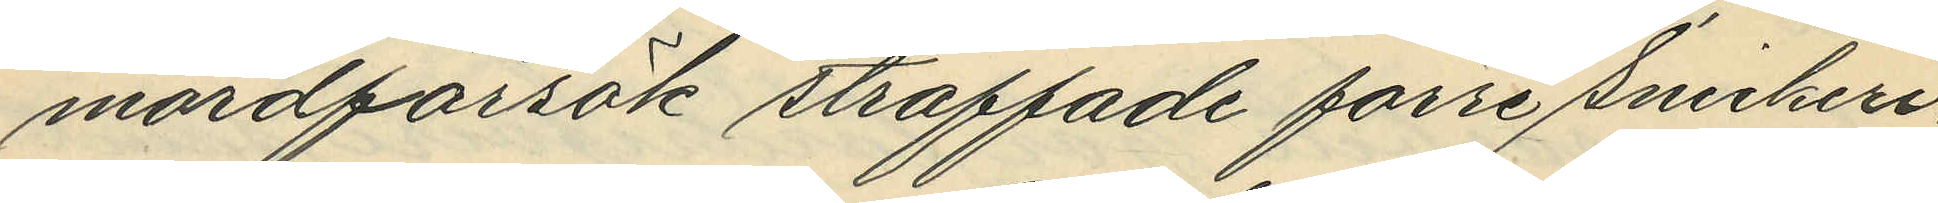mordförsök straffade förre Snickeri¬
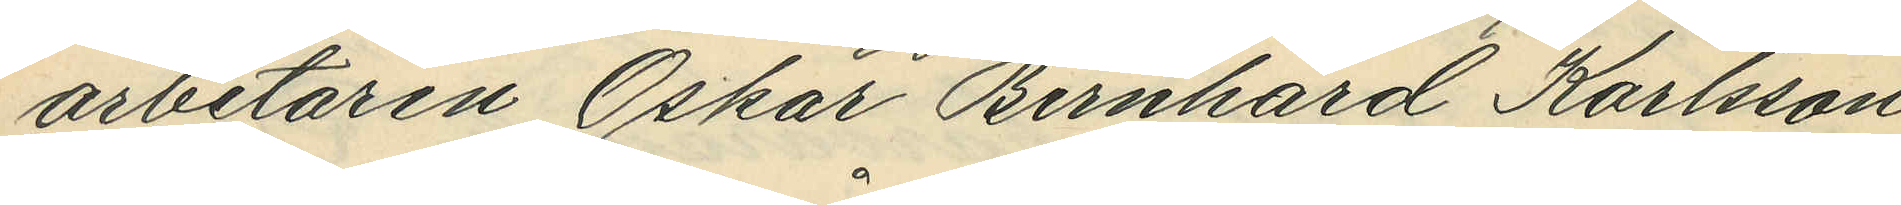arbetaren Oskar Bernhard Karlson
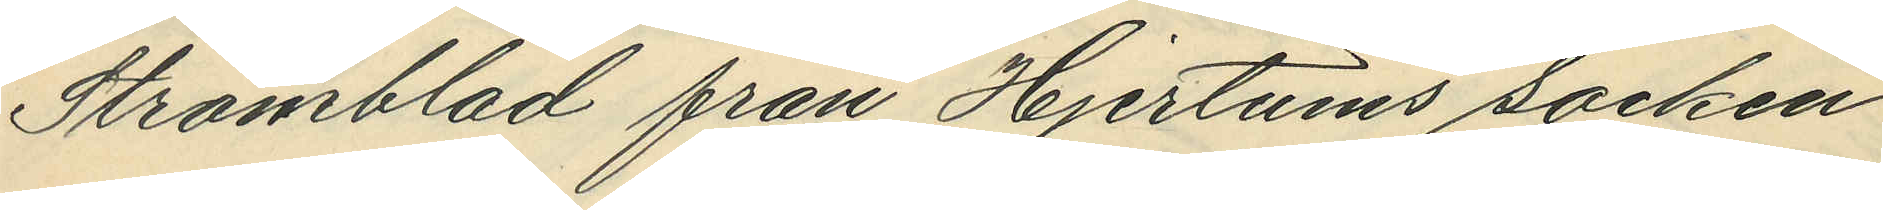Strömblad från Hjertums socken
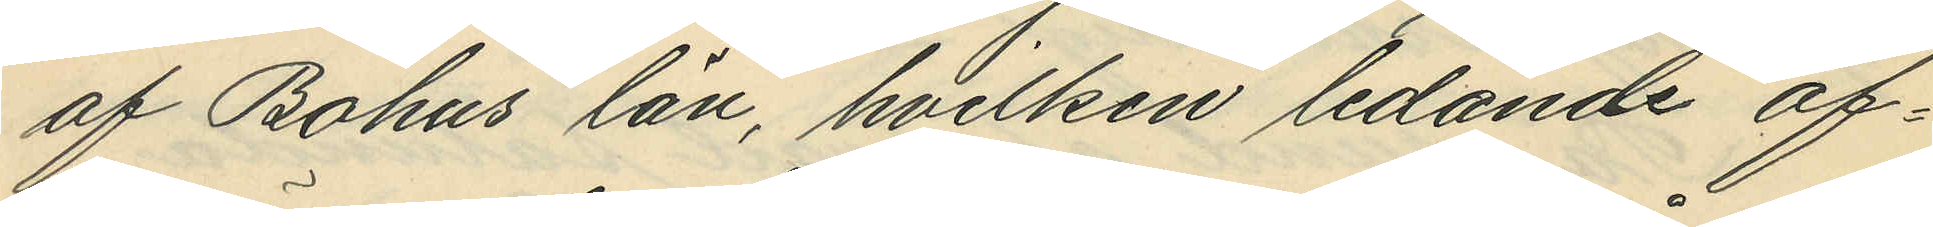af Bohus län, hvilken ledande of¬
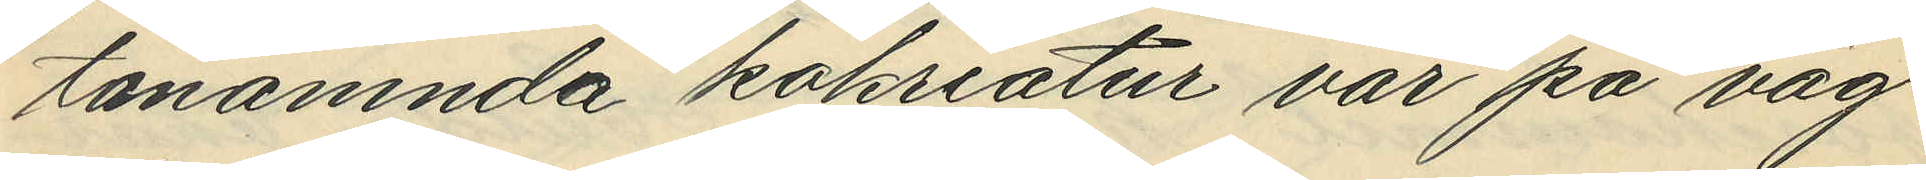tanämnda kokreatur var på väg
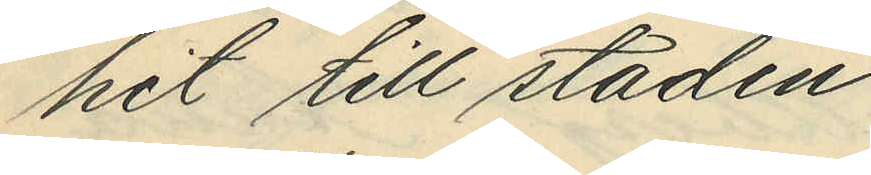hit till staden.
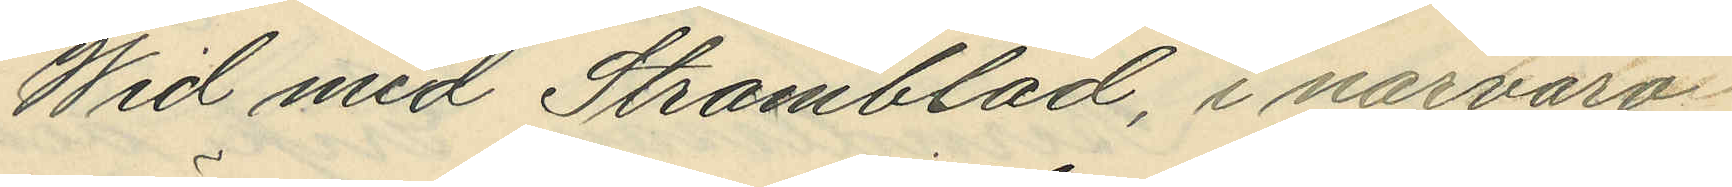Wid med Strömblad, i närvaro
